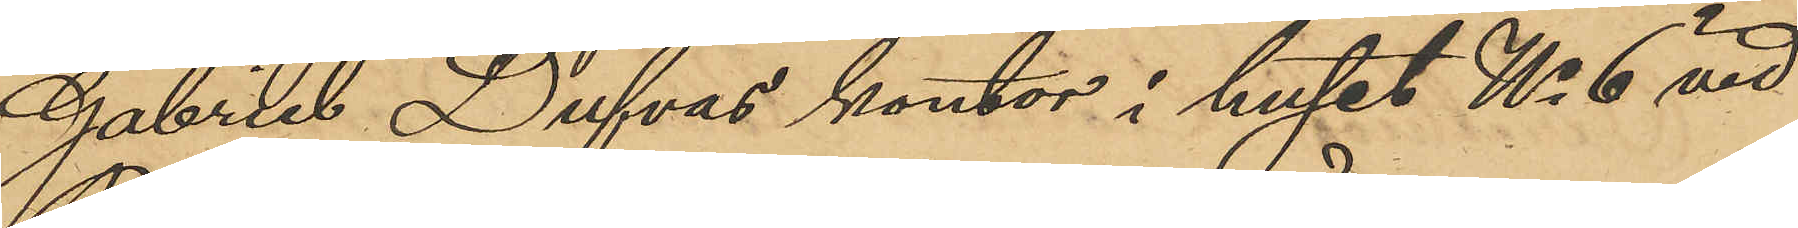Gabriel Dufvas kontor i huset No 6 vid
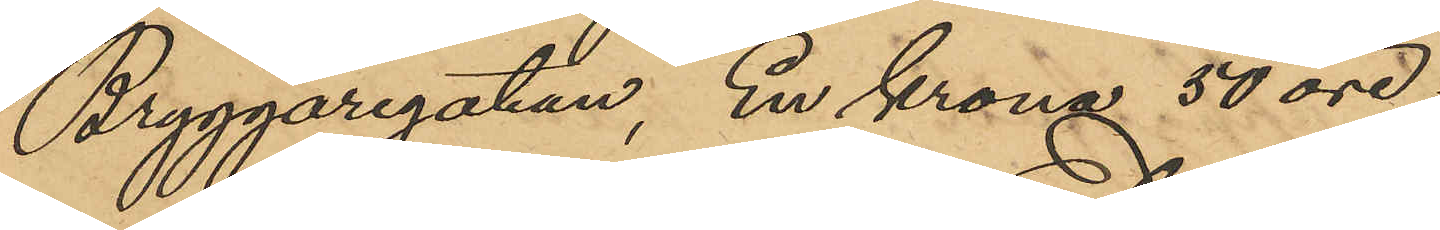Bryggaregatan, En krona 50 öre;
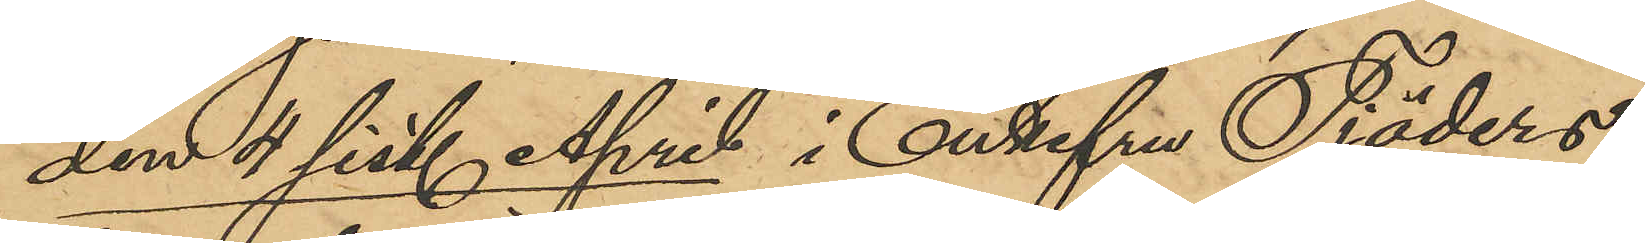den 4 sist. April i Enkefru Tjäders
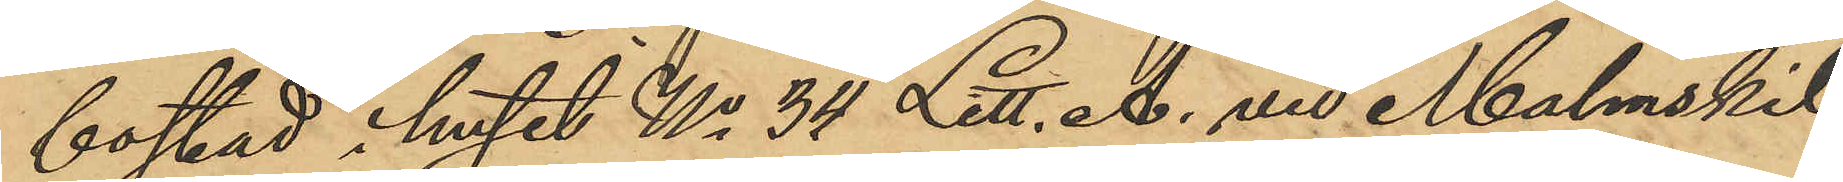bostad i huset No 34 Litt. A. vid Malmskil¬
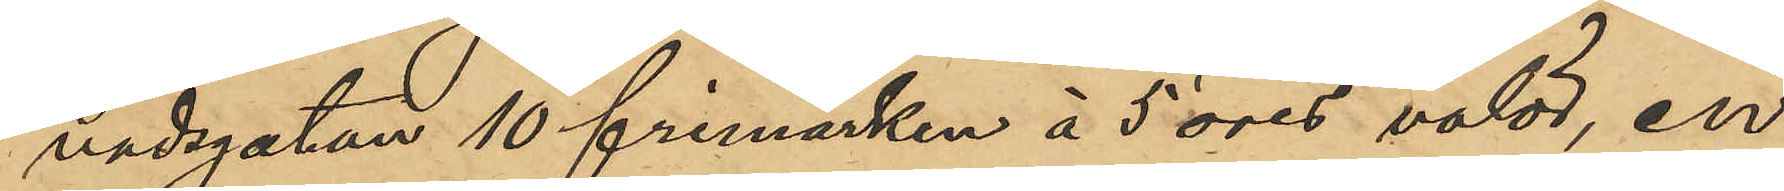nadsgatan 10 frimärken å 5 öres valör, en
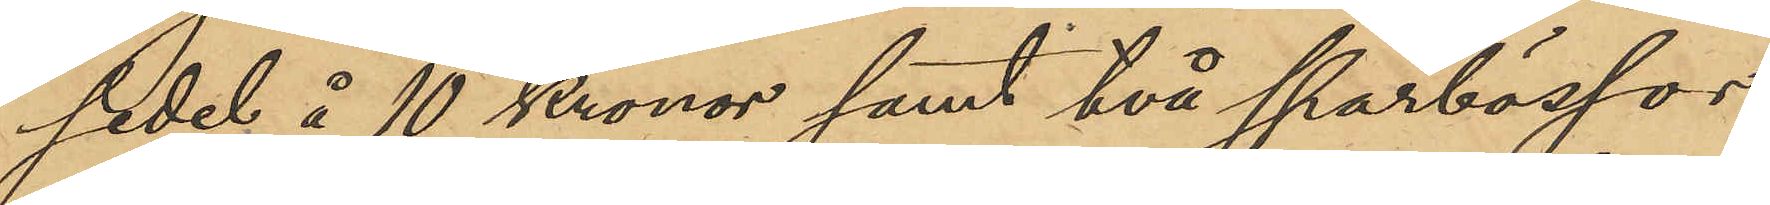sedel å 10 Kronor samt två sparbössor,
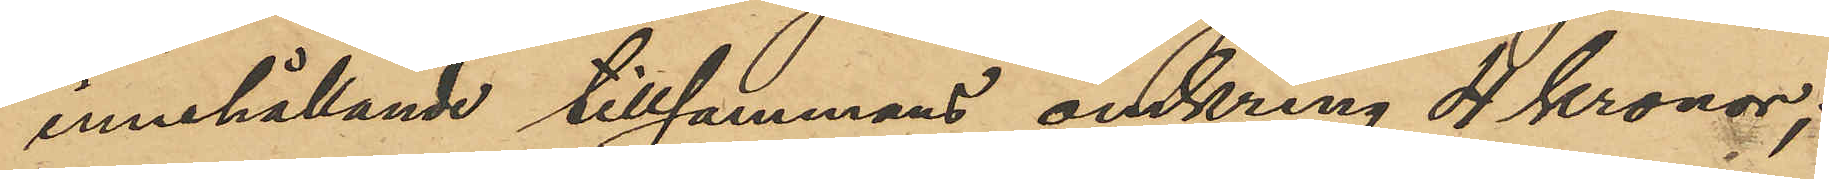innehållande tillsammans omkring 4 Kronor;
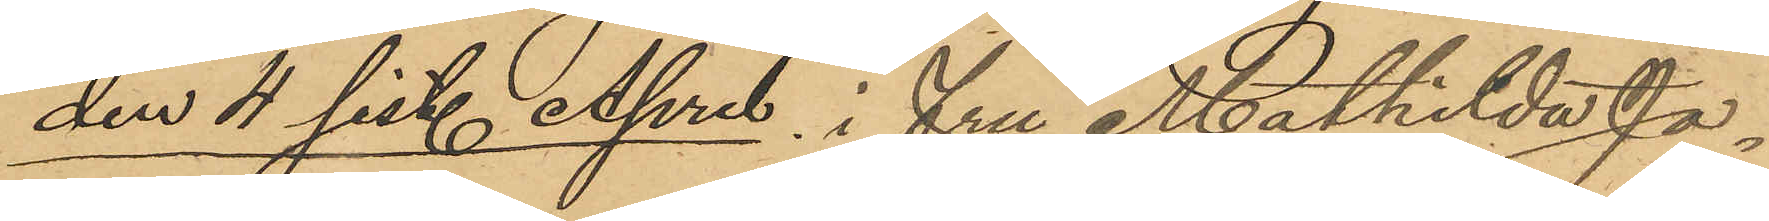den 4 sist. April i fru Mathilda Jo¬
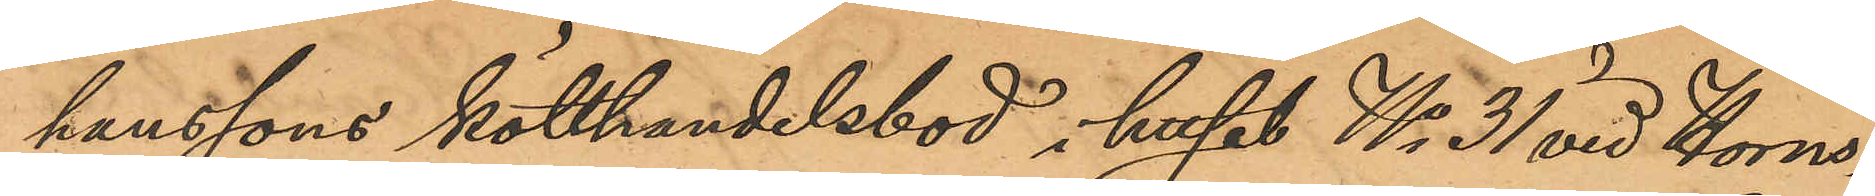hanssons kötthandelsbod i huset No 31 vid Horns¬
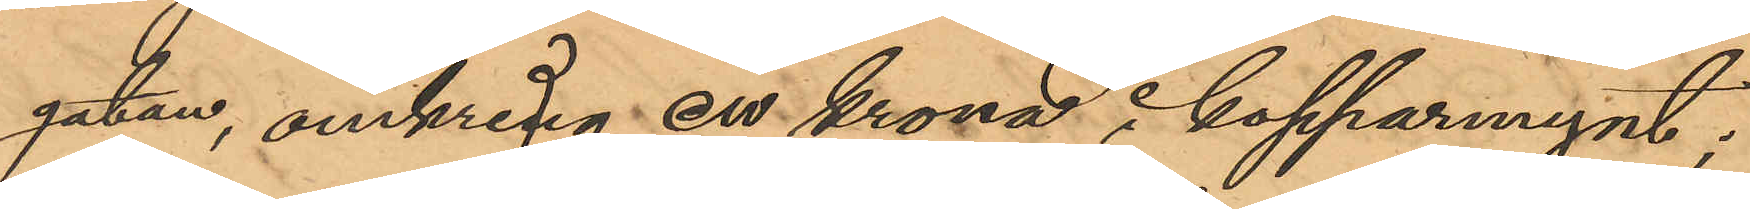gatan, omkring en krona i kopparmynt;
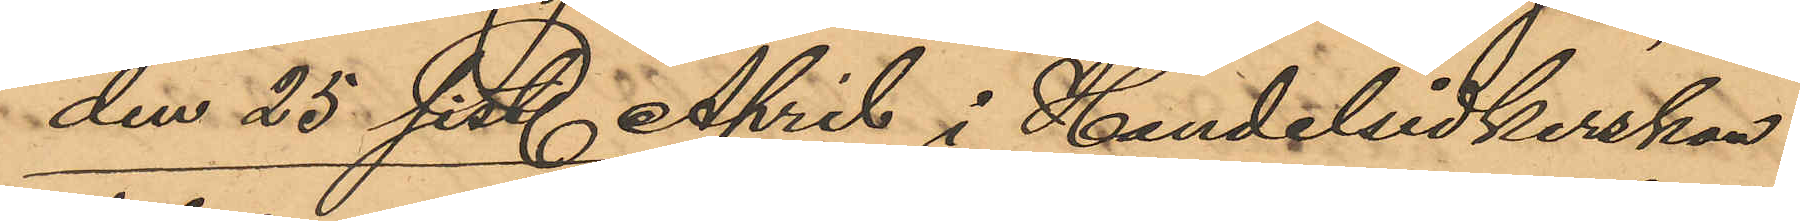den 25 sist. April i Handelsidkerskan
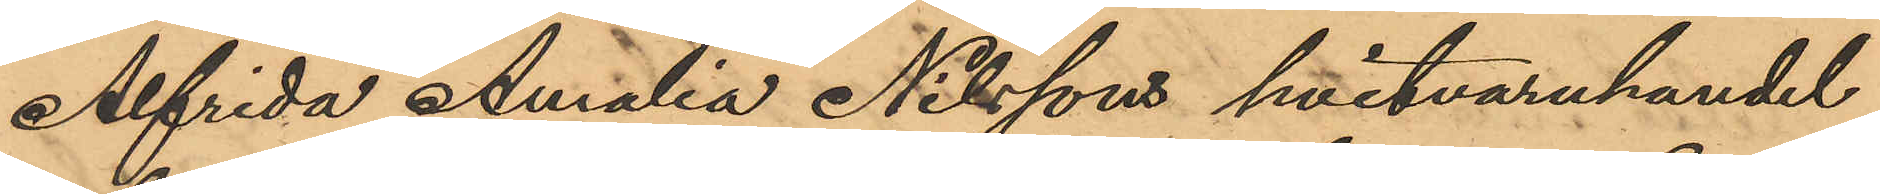Alfrida Amalia Nilssons hvitvaruhandel
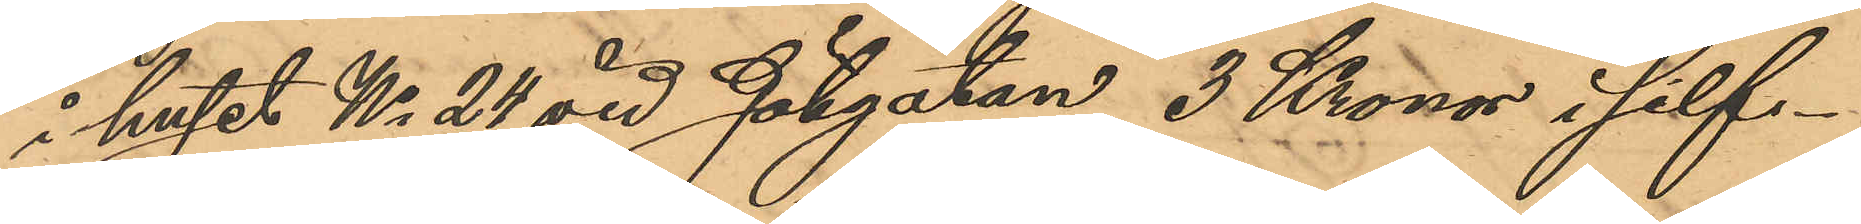i huset No 24 vid Götgatan, 3 Kronor i silf¬
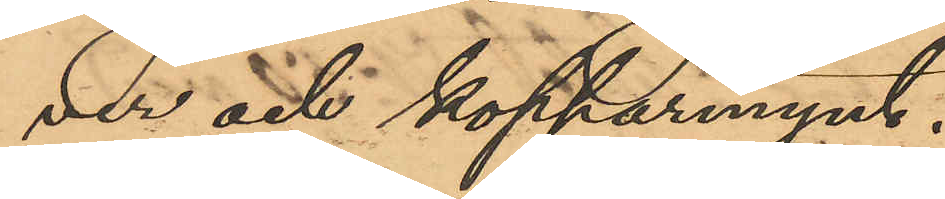ver och kopparmynt.
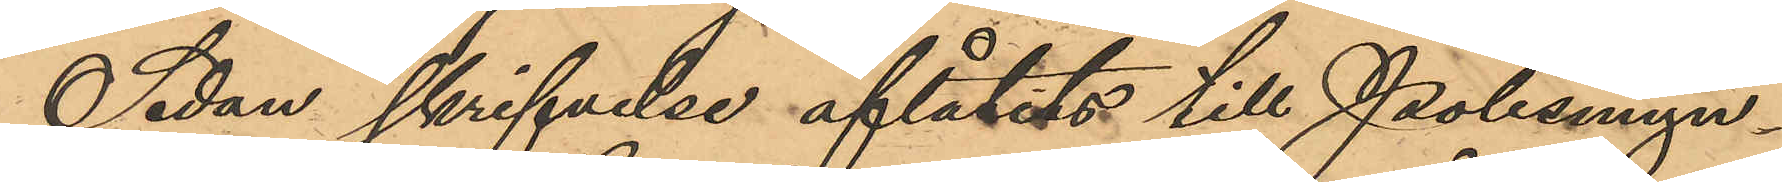Sedan skrifvelse aflåtits till Polismyn¬
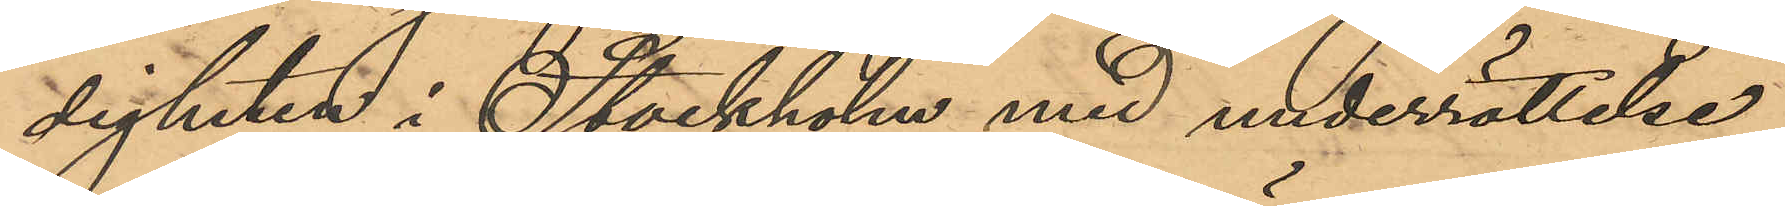digheten i Stockholm med underrättelse
